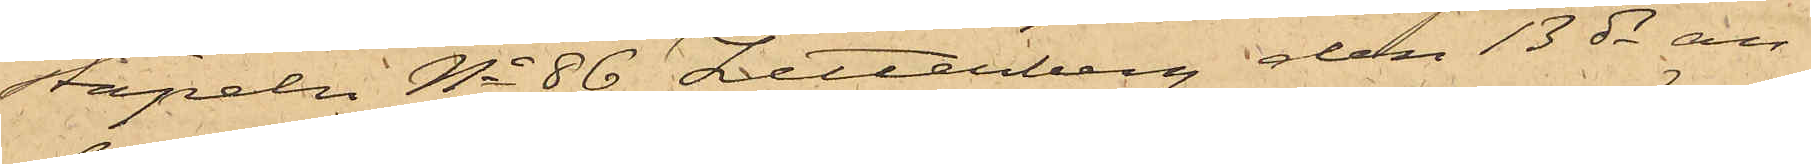stapeln No 86 Zetterberg den 13 ds an¬
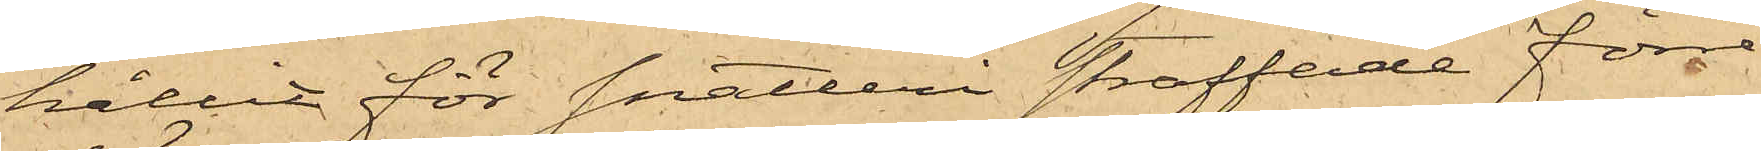hållit för snatteri straffade förre
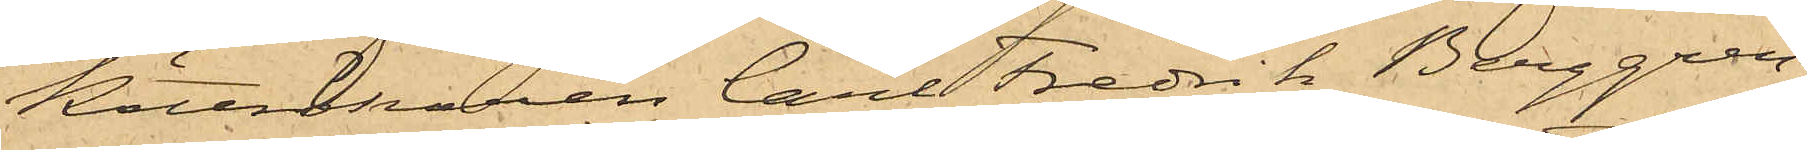Köttrökaren Carl Fredrik Berggren,
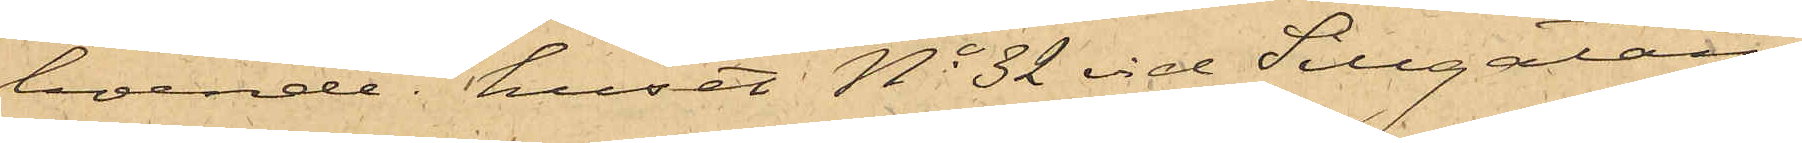boende i huset No 32 vid Sillgatan,
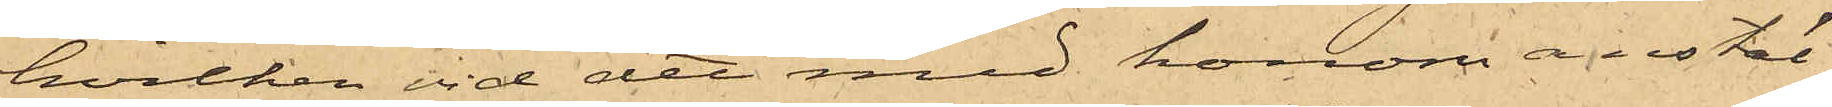hvilken vid det med honom anstäl¬
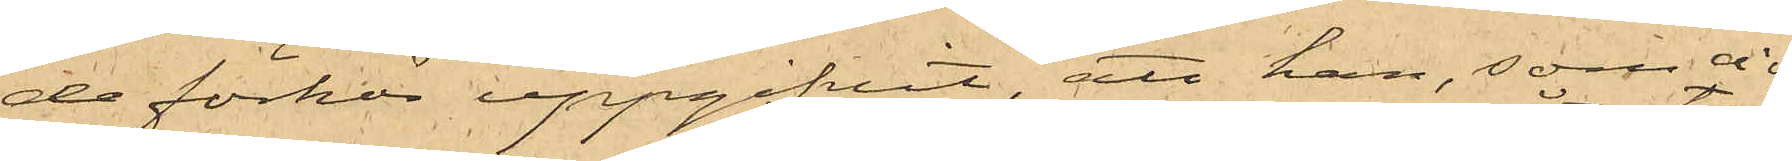de förhör uppgifvit, att han, som vid
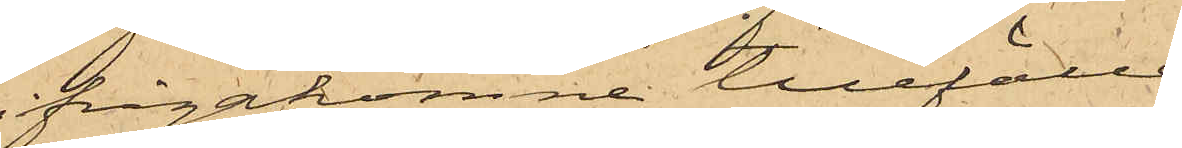ifrågakomne tillfälle
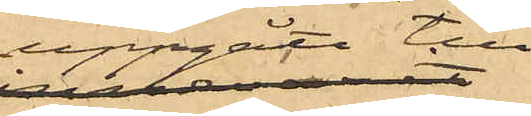uppgått till
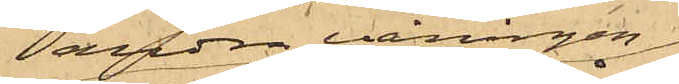andra våningen
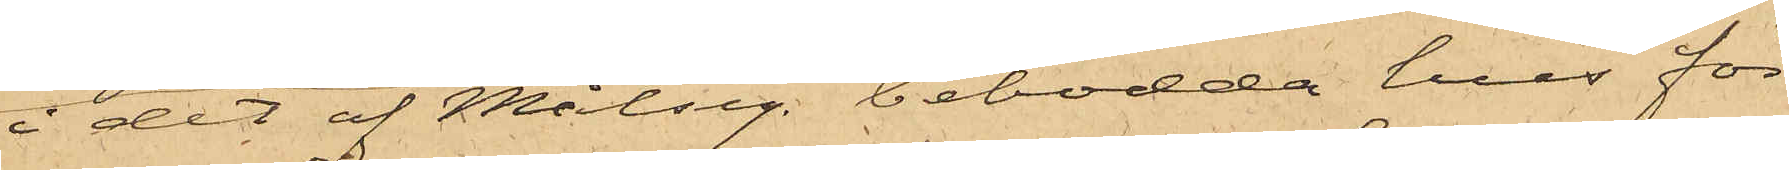i det af Målseg. bebodda hus för
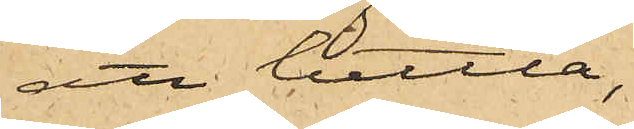att bettla,
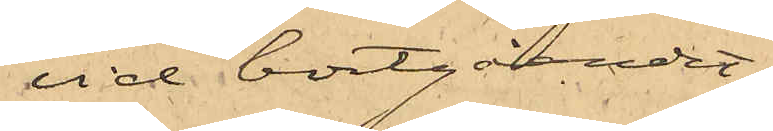vid bortgåendet
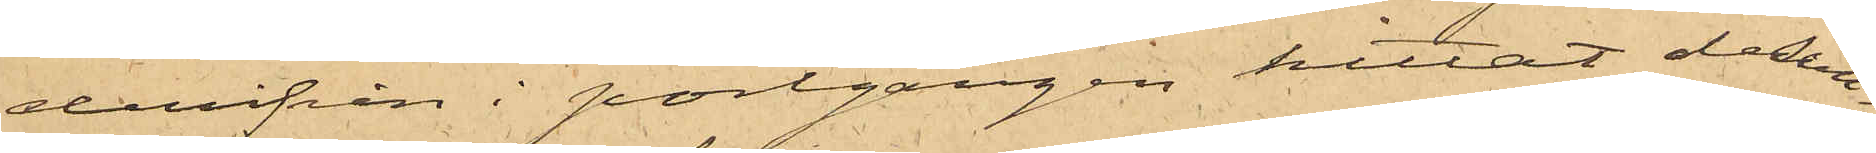derifrån i portgången hittat desert¬
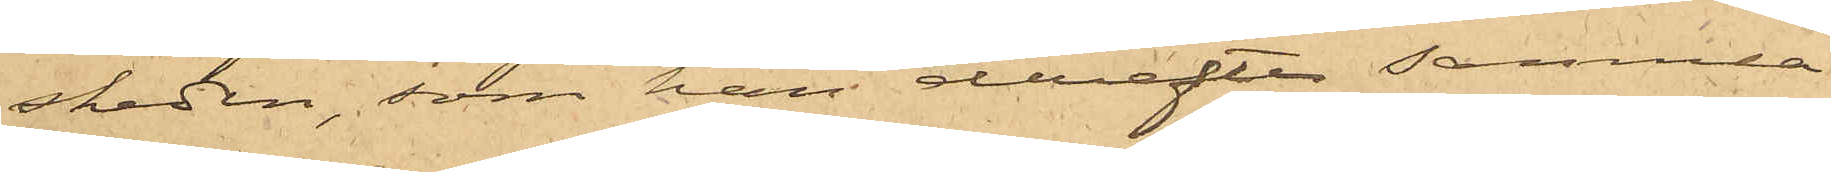skeden, som han derefter samma
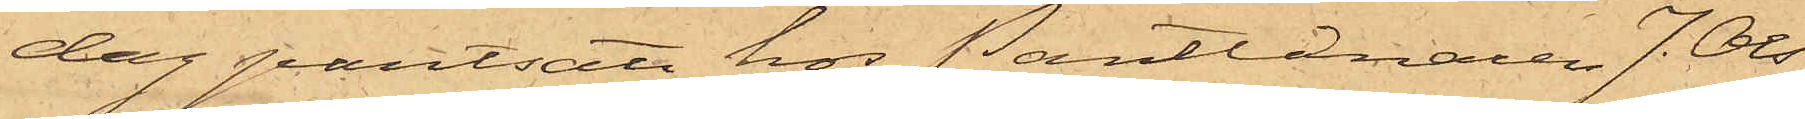dag pantsatt hos Pantlånaren J. Ols¬
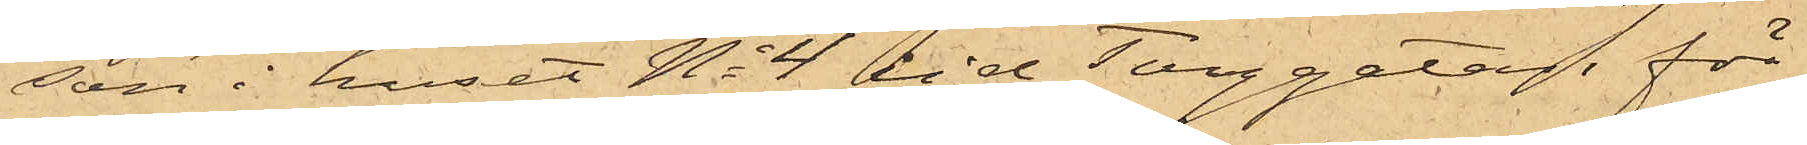den i huset No 4 vid Torggatan för
